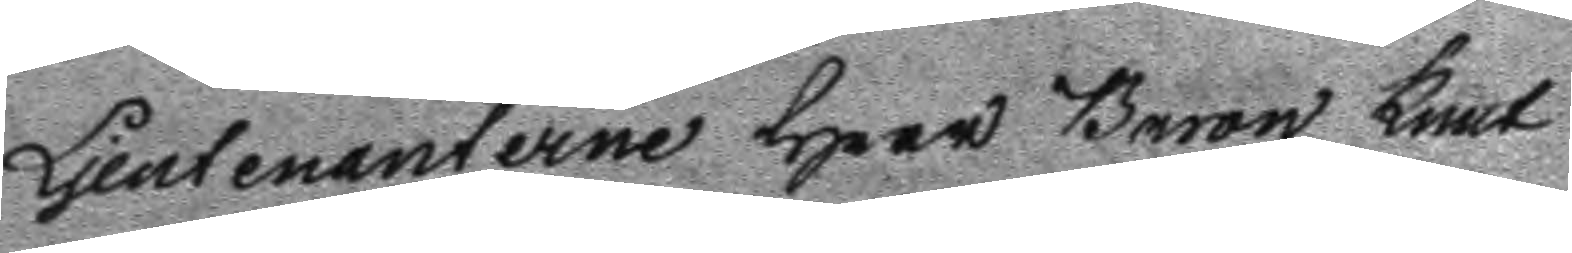Ljeutenanterne Herr Baron knut
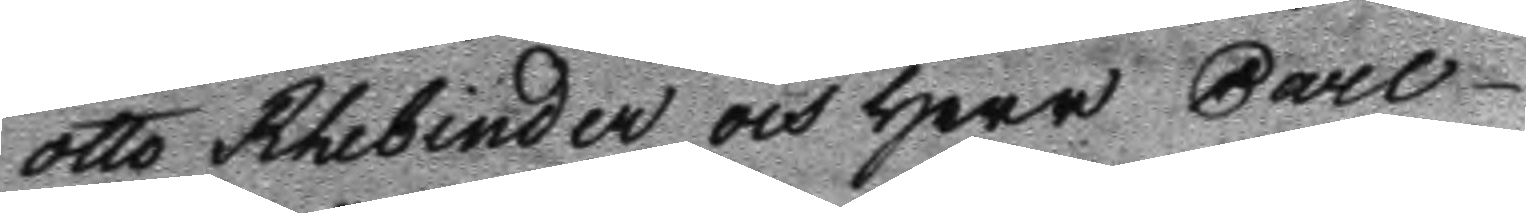otto Rhebinder och Herr Carl
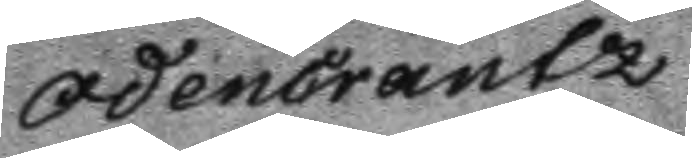OdenCrantz.
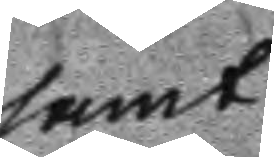samt
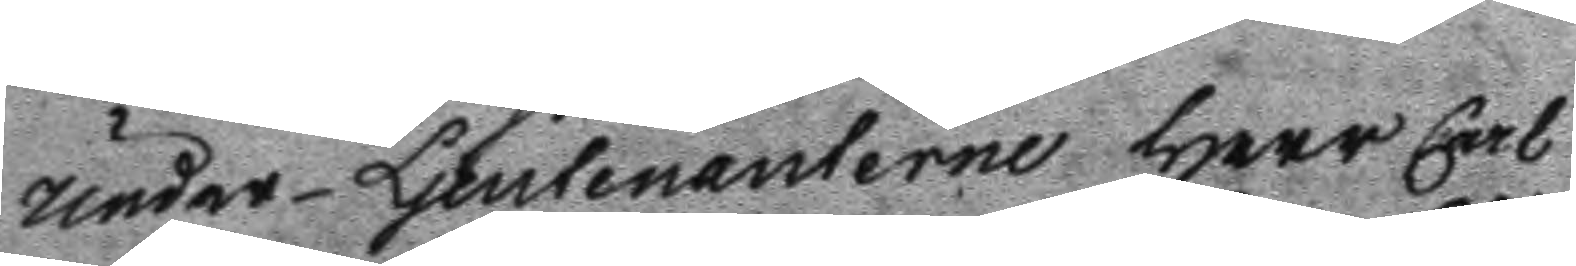Under Ljeutenanterne Herr Carl
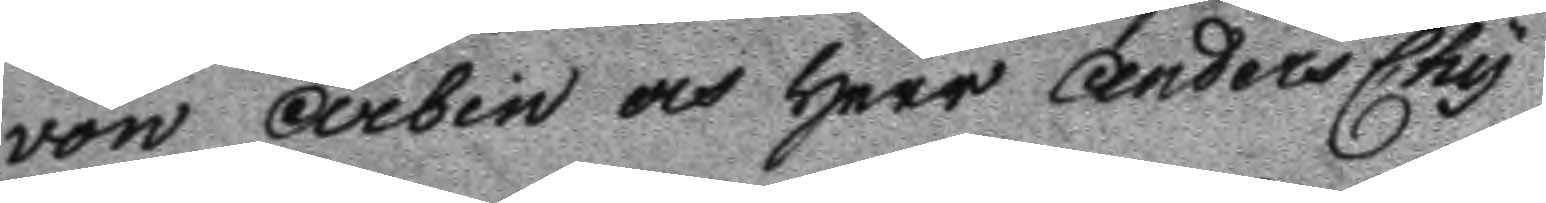von Arbin och Herr Anders Chy¬
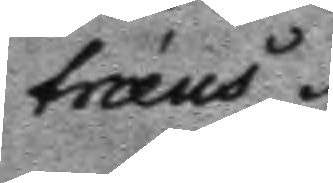træus.
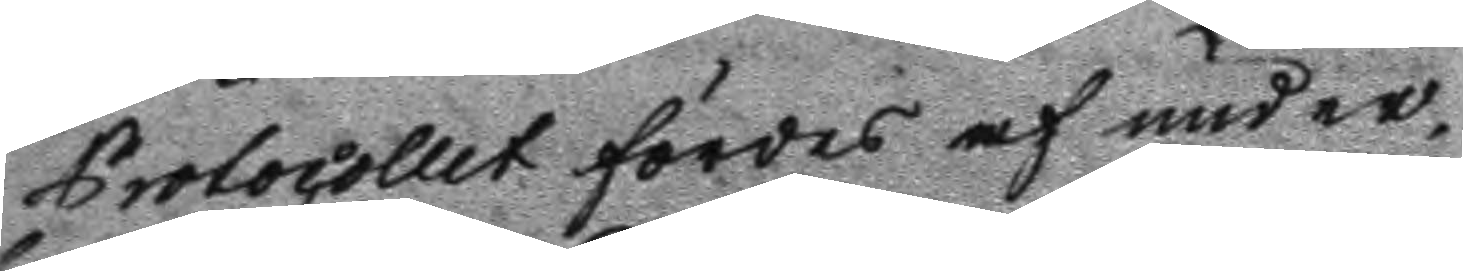Protocollet fördes af under¬
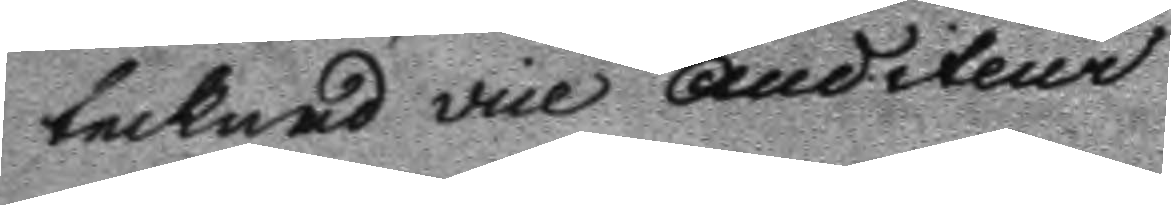tecknad vice Auditeur.
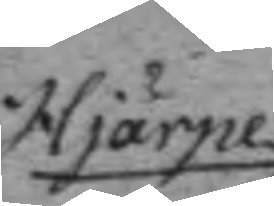Hiärpe
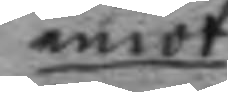emot
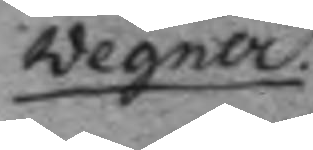Wegner.
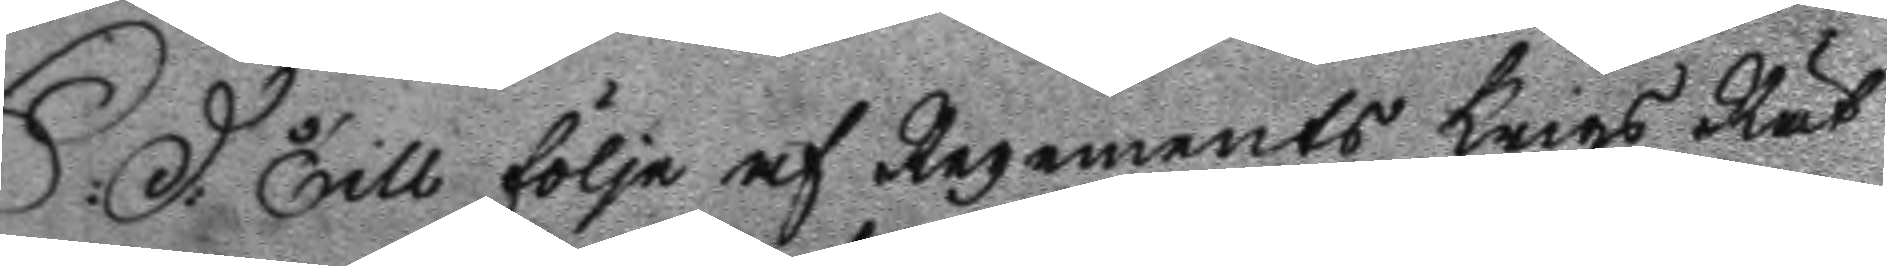S: D: Till följe af Regements Krigs Rät¬ 
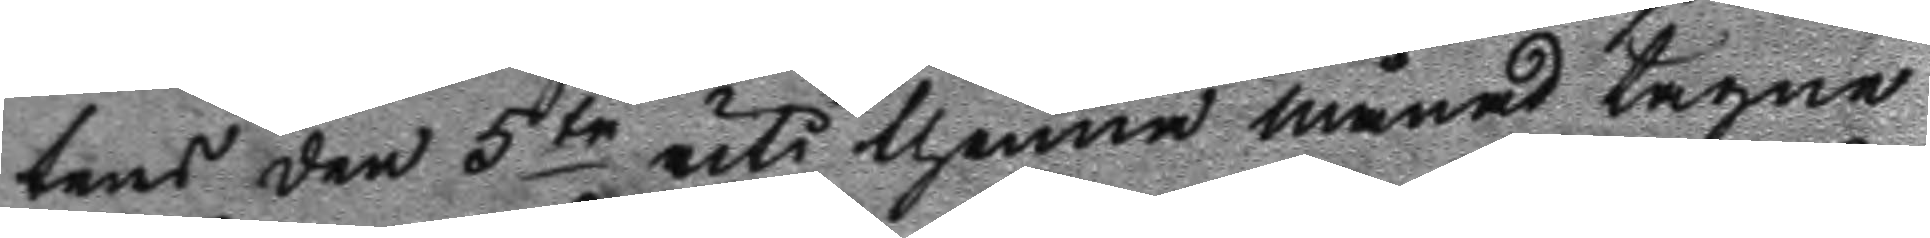tens den 5te uti thenne månad tagne 
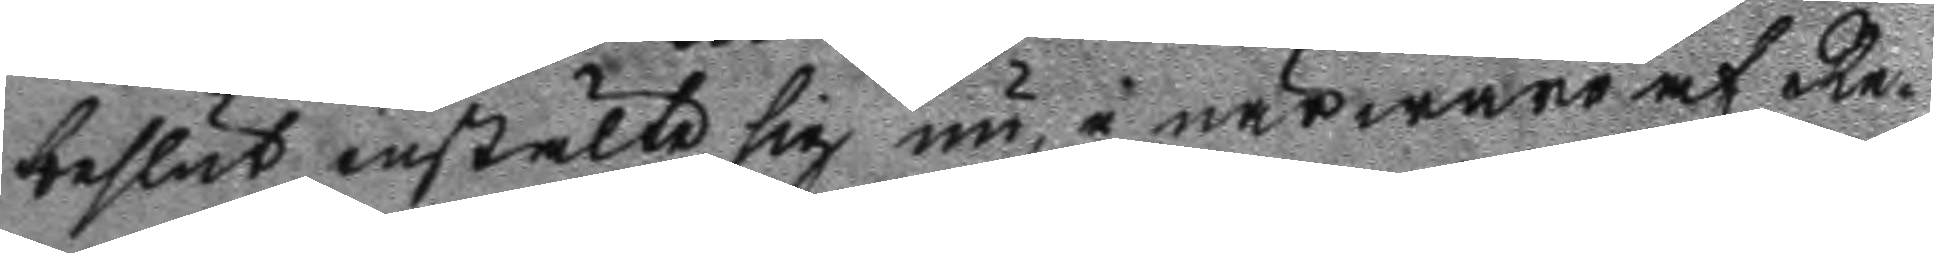beslut instälte sig nu, i närwaro af Re¬
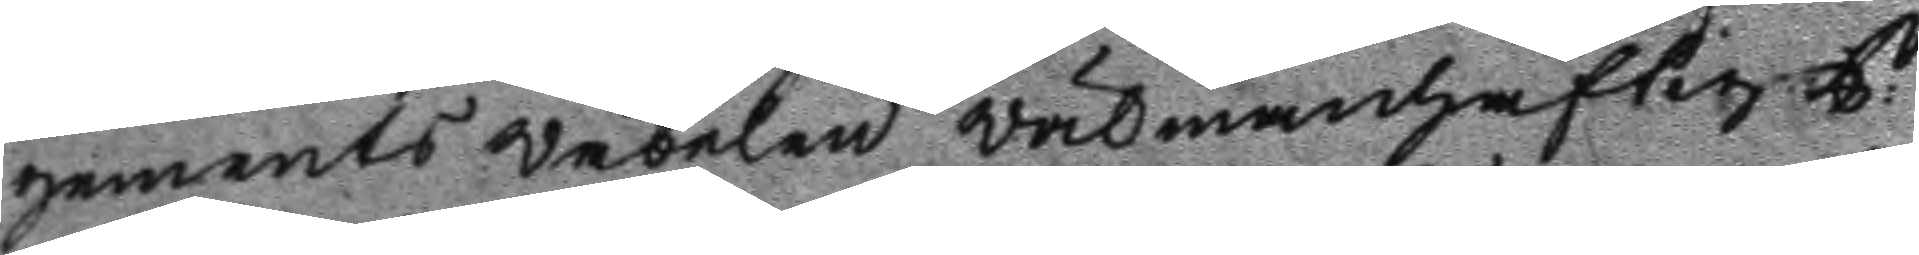gements Wäbelen välmanhaftig C: 
